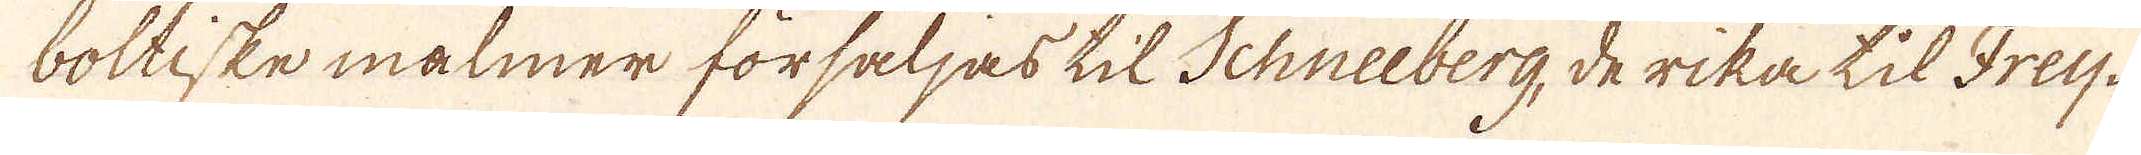boltiske målmer försaljas til Schneeberg, de rika til Frey-
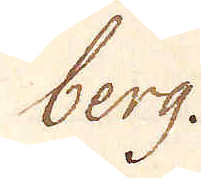berg.
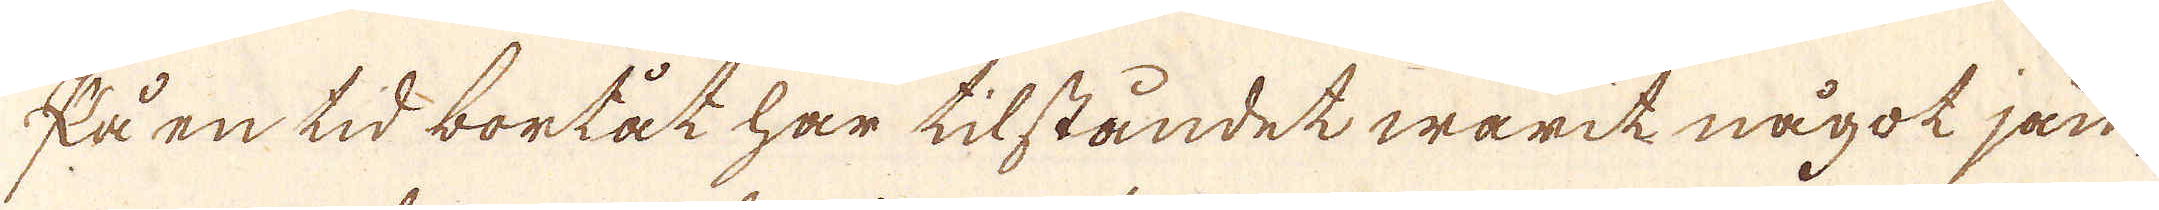På en tid bortåt har tilståndet warit något jäm-
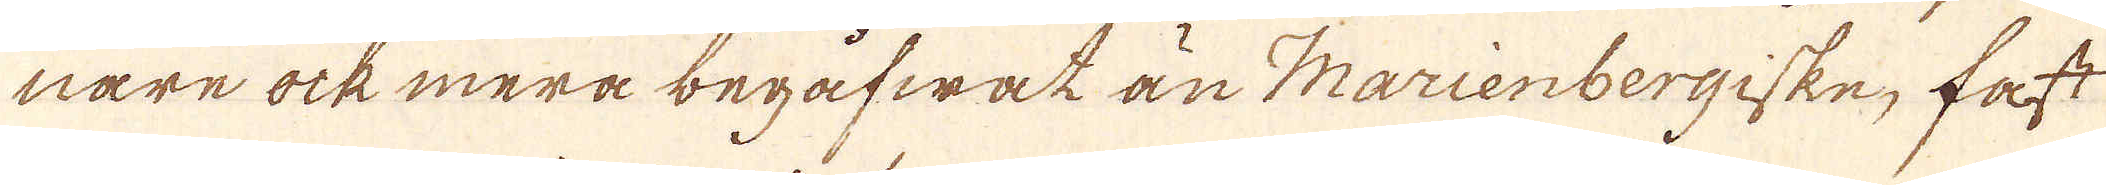nare ock mera begåfwat än Marienbergiske, fast
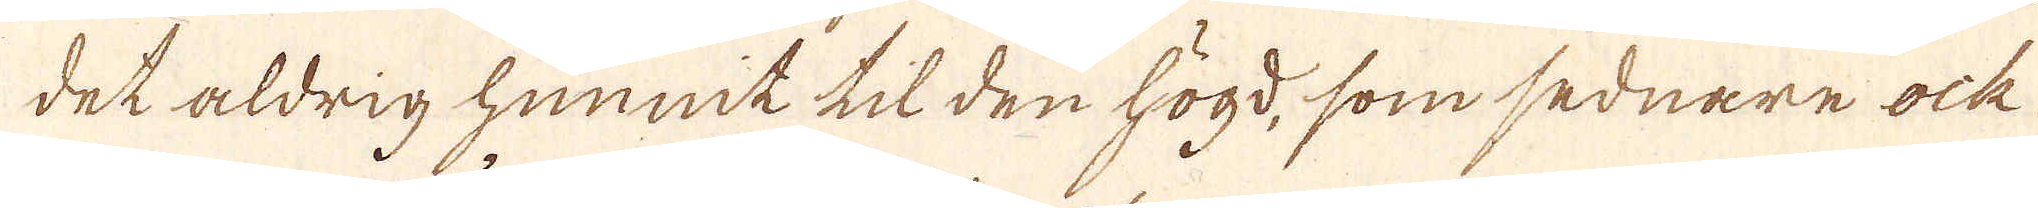det aldrig hunnit til den högd, som sednare ock
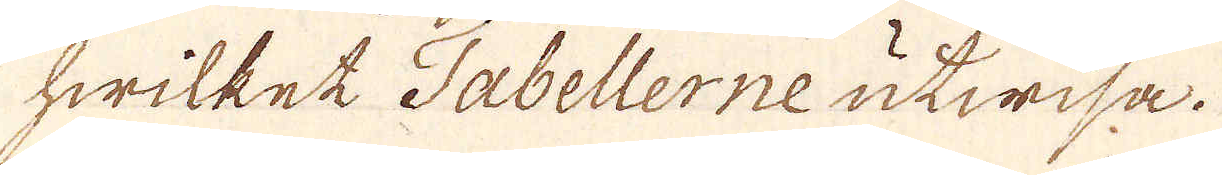hwilket Tabellerne utwisa.
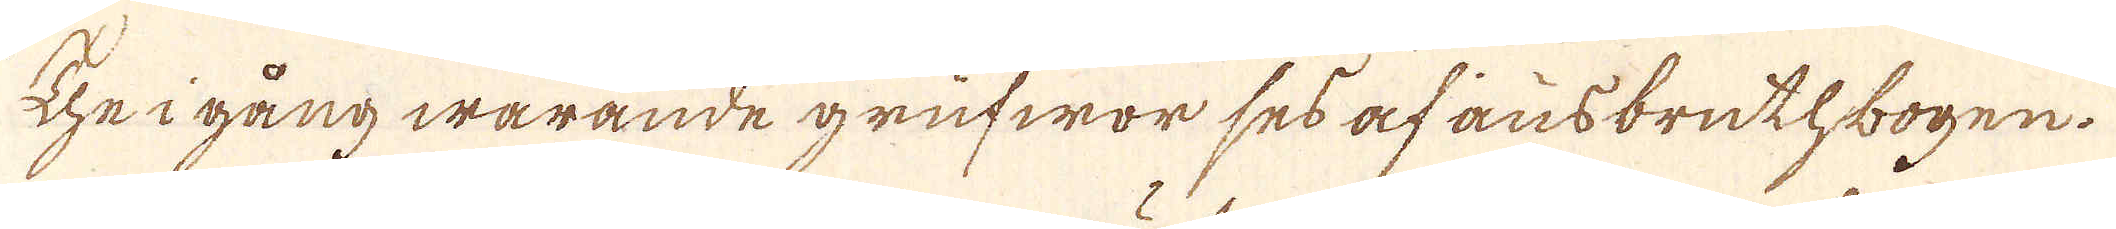The i gång warande grufwor ses af ausbruthbogen.
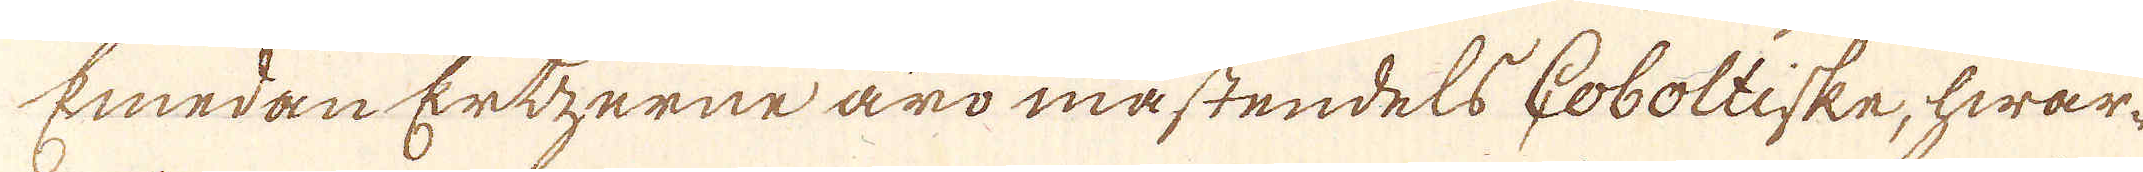Emedan Ertzerne äro mästendels Coboltiske, hwar-
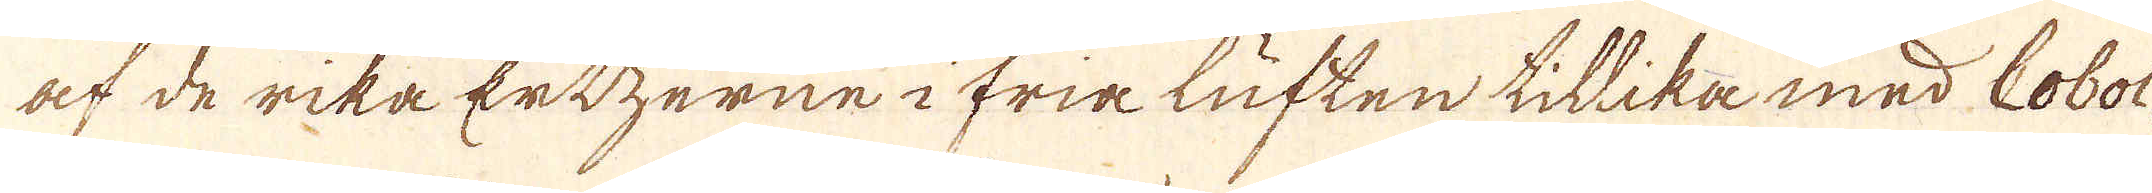at de rika Ertzerne i fria luften tillika med Cobol
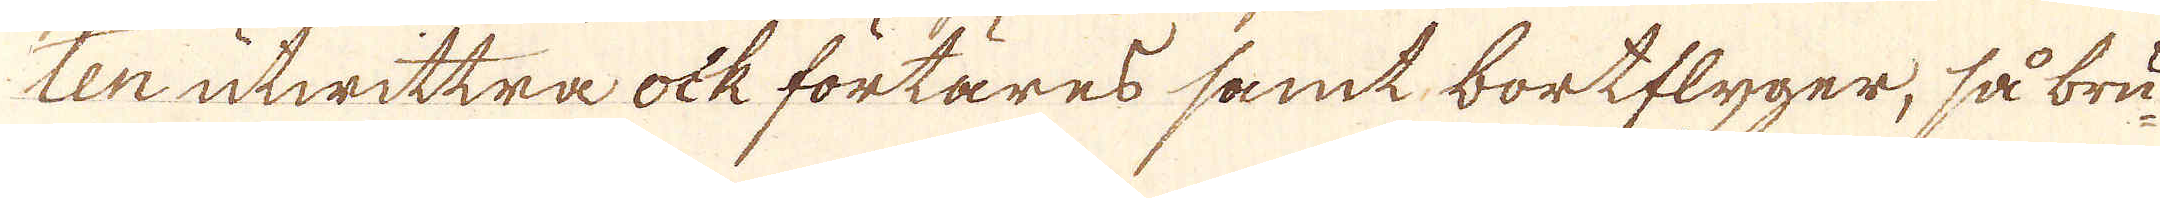ten utwittra ock förtäres samt bortflyger, så bru-
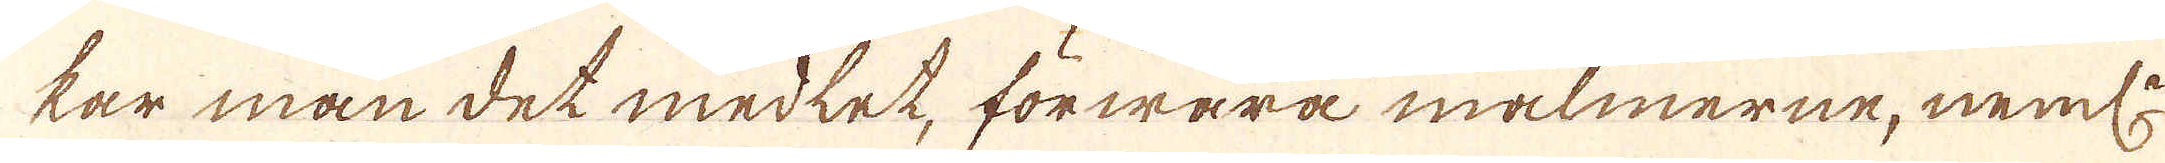kar man det medlet, förwara malmerne, neml:n
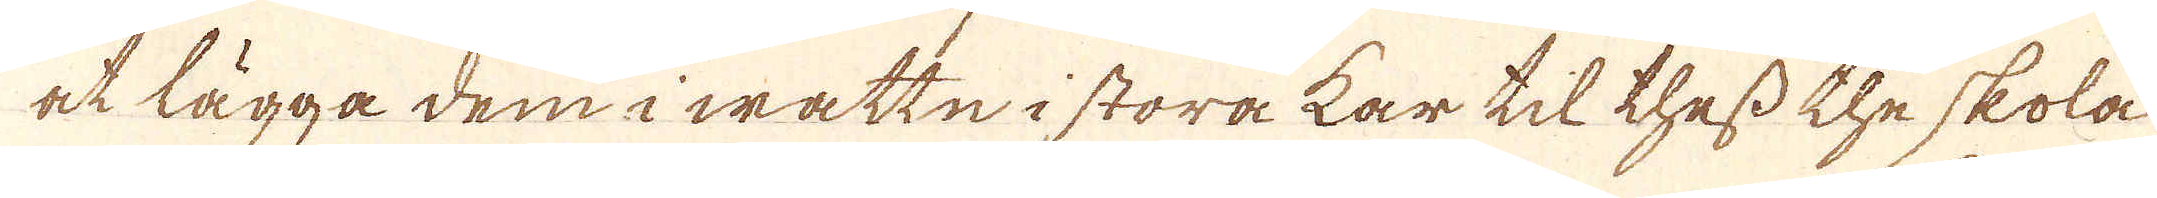at lägga dem i wattn i stora kar til thess the skola
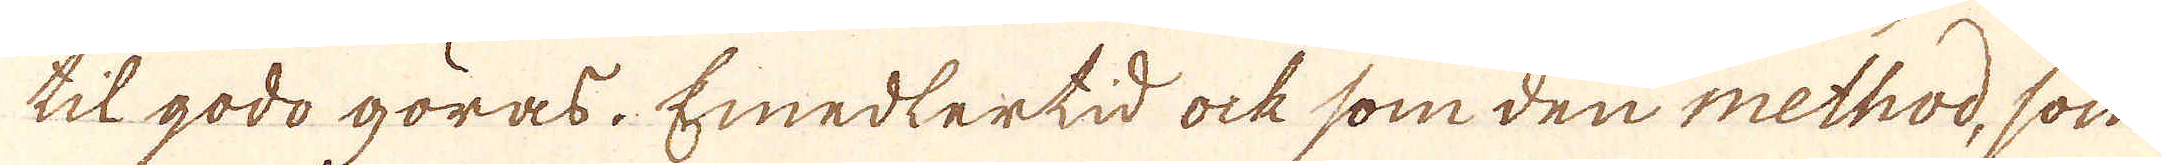til godo göras. Emedlertid ock som den method, som
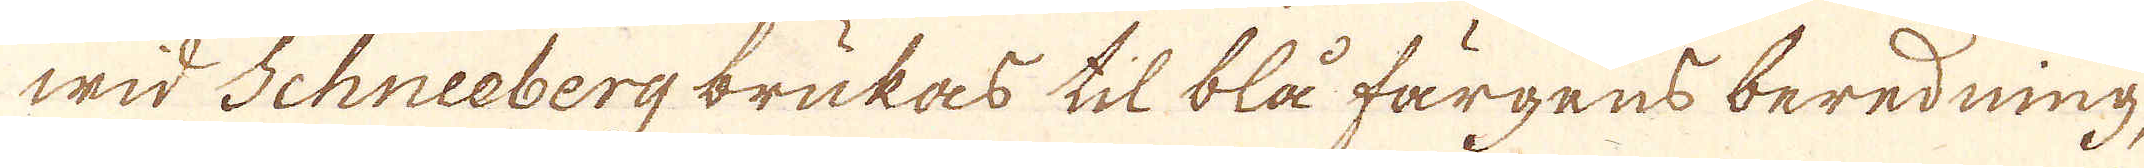wid Schneeberg brukas til blå färgens beredning,
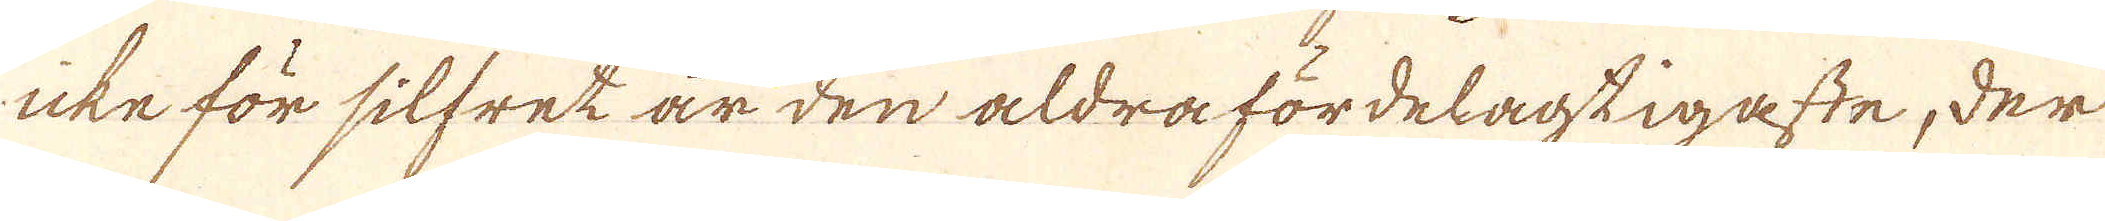icke för silfret är den aldra fördelagtigaste, der
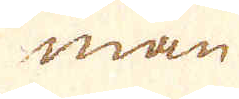man
